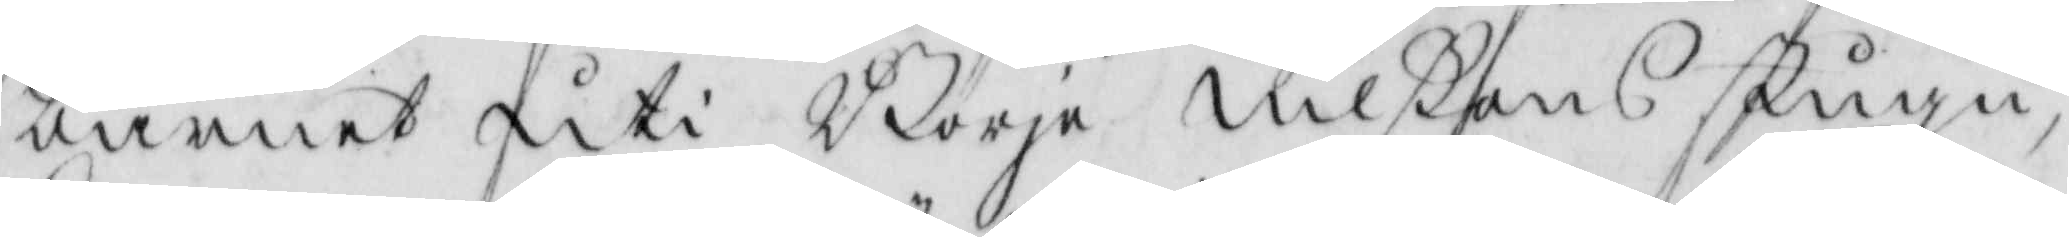barnet uti Börje Nilßons stugu,
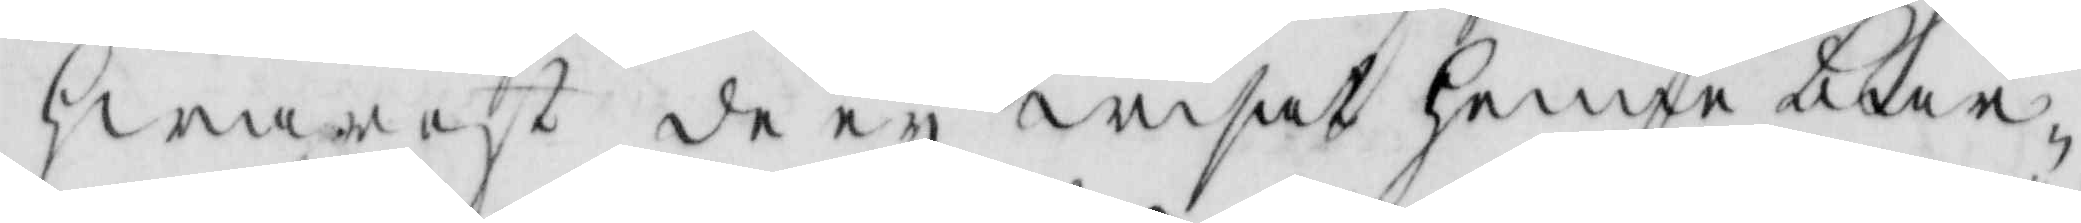hwarest de ey wisat henne bar¬
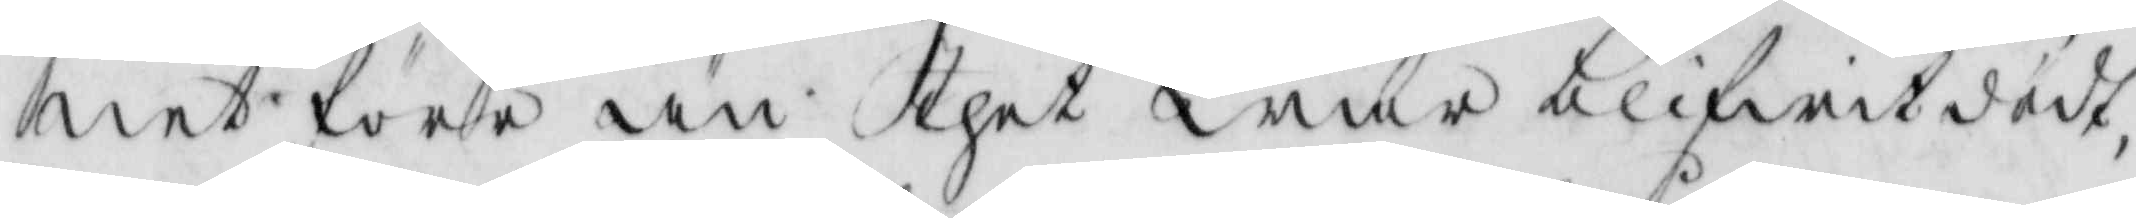net före än thet war blifwit dödt,
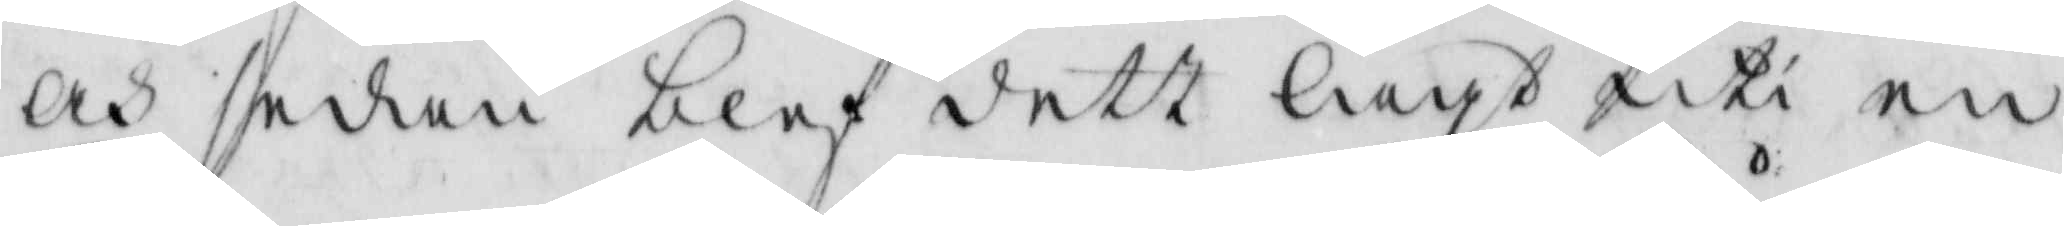och sedan blef dett lagt uti en
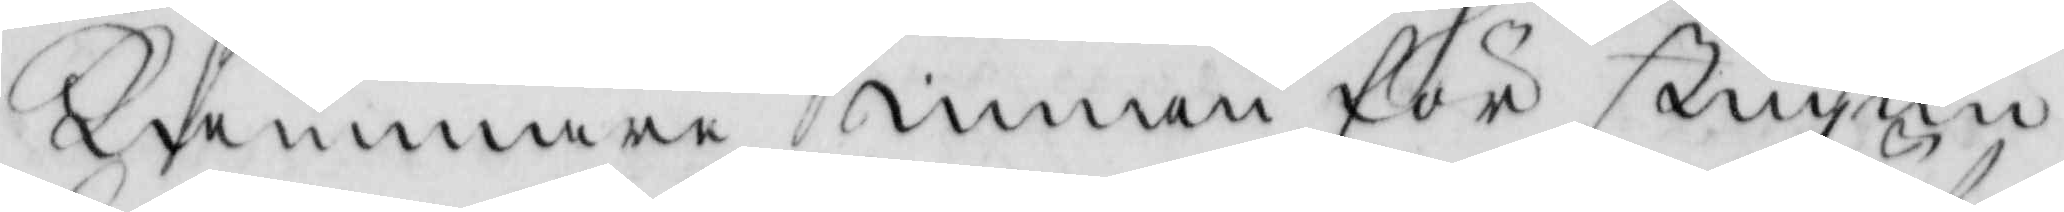kammare innan för stugun
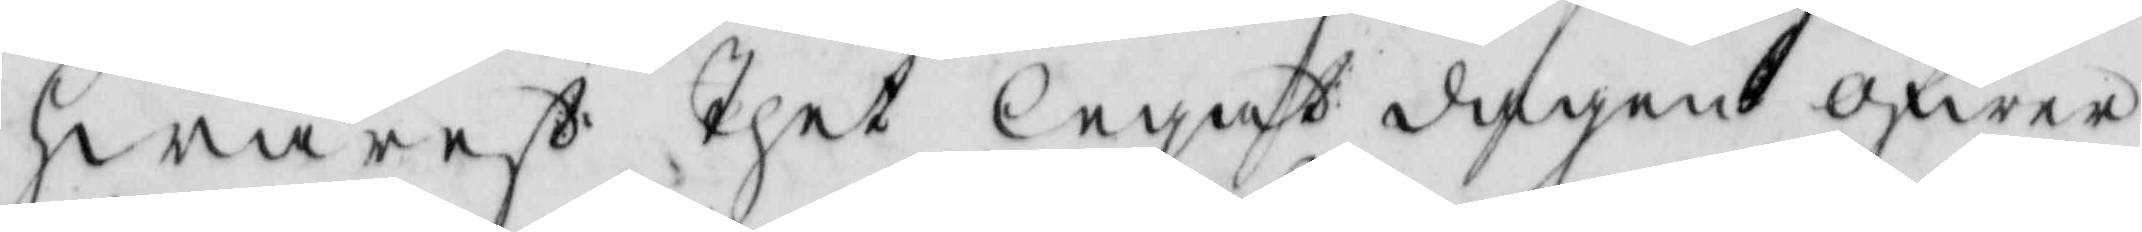hwarest thet legat dagen öfwer
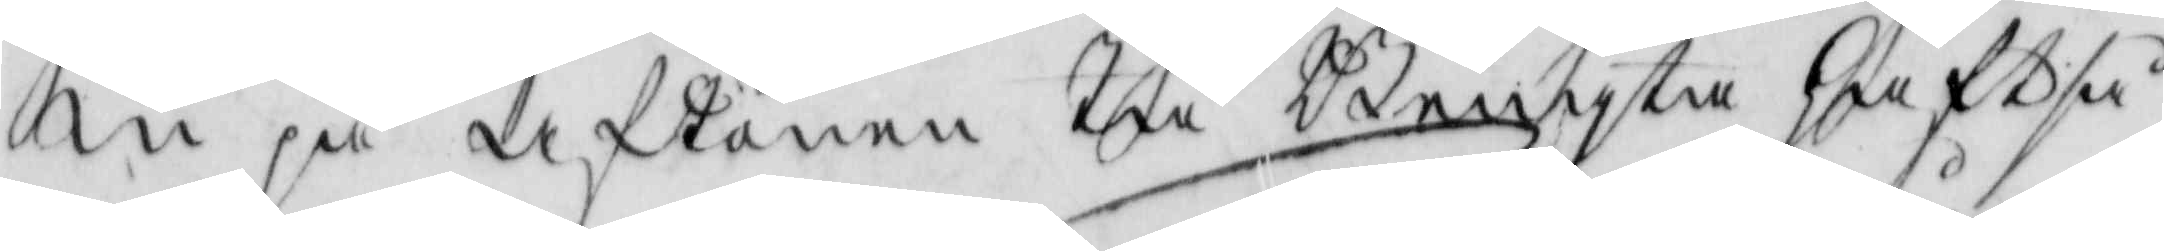in på aftonen tå Bengsta haft så
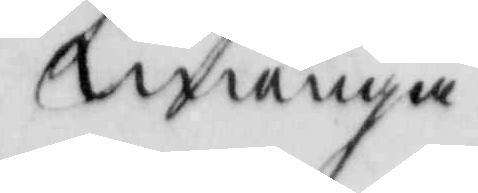många
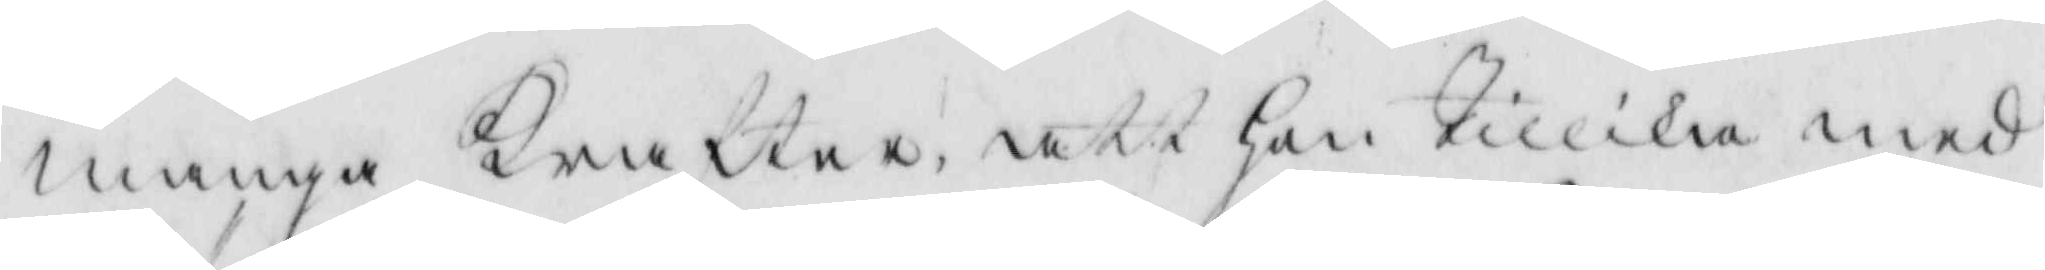många krafter, att hon tillika med
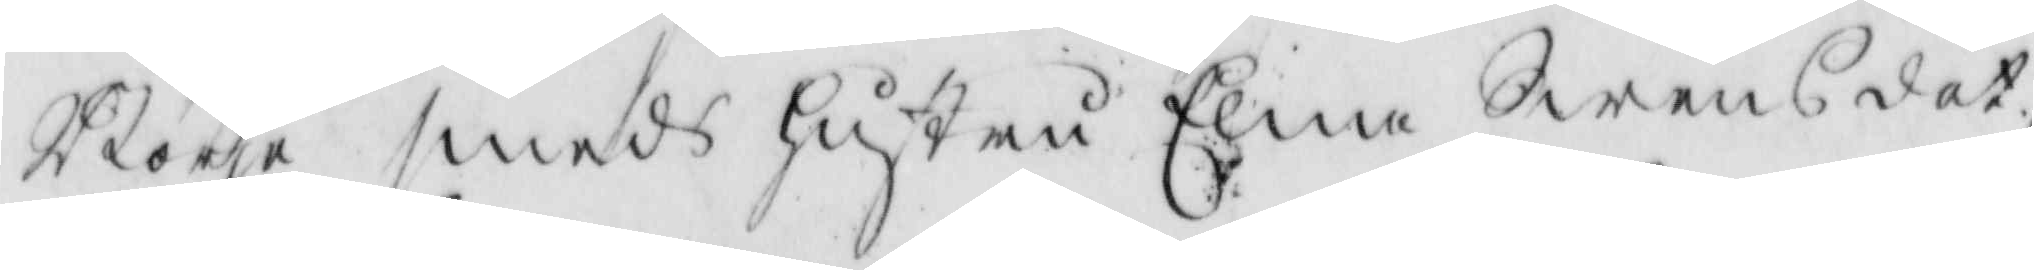Börje smeds hustru Elna Swens dot¬
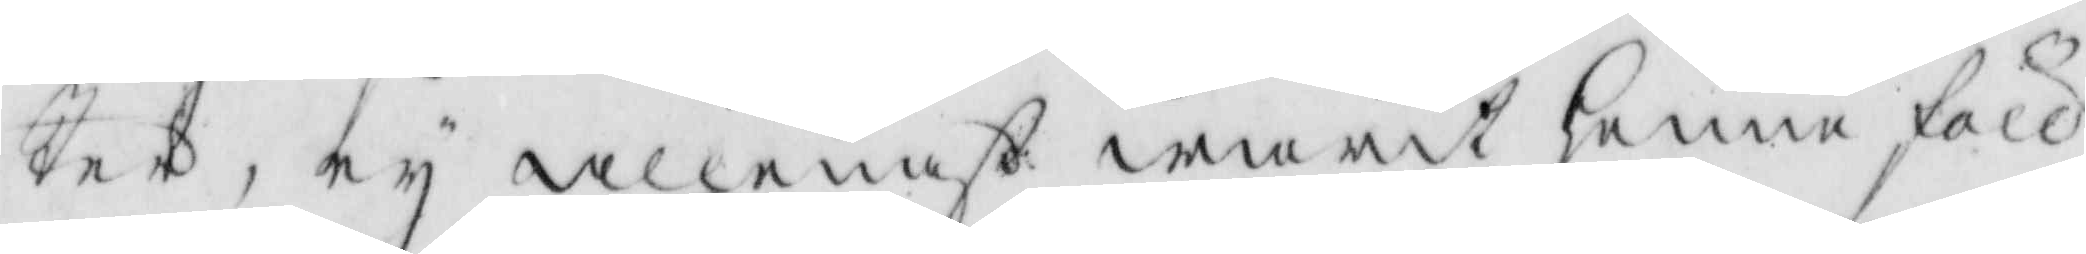ter, ey allenast warit henne föll¬
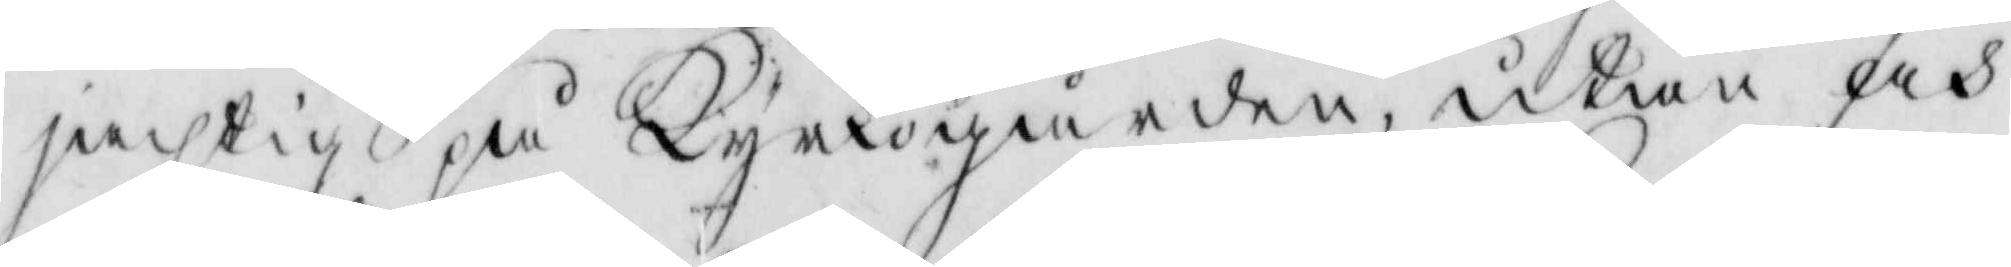jachtig på Kyrkogården, utan och
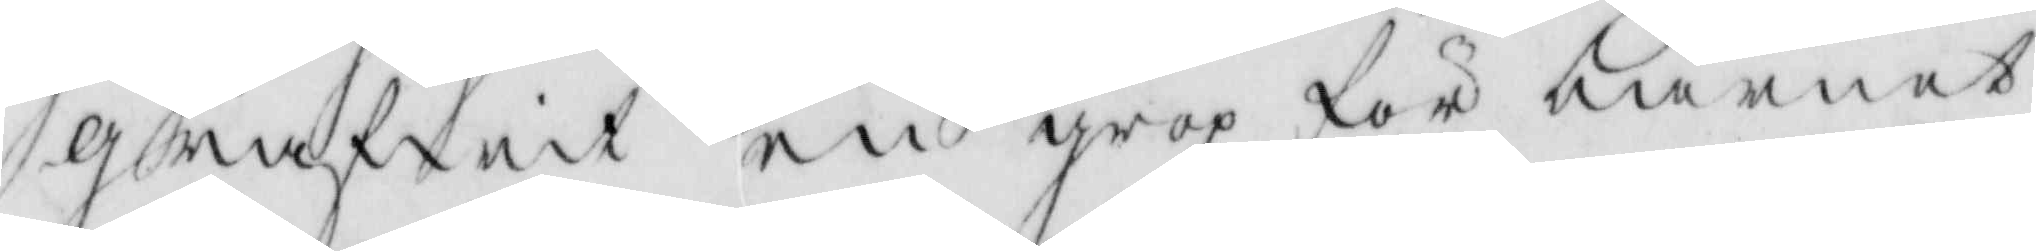grafwit en grop, för barnet
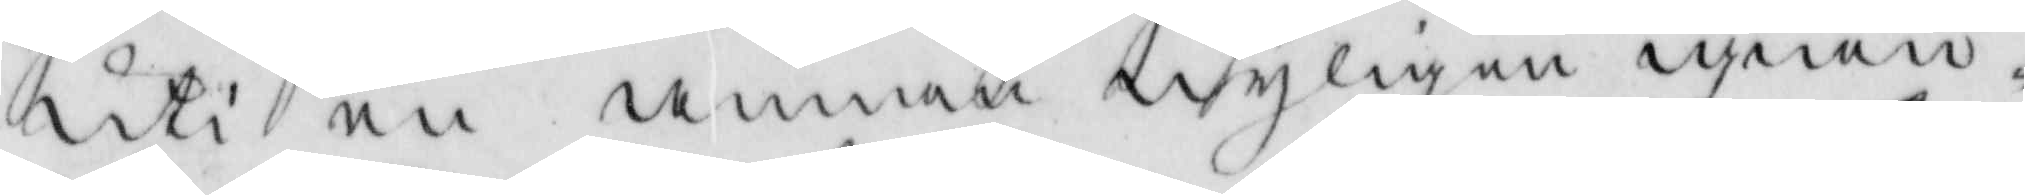uti en annan nyligen igiän-
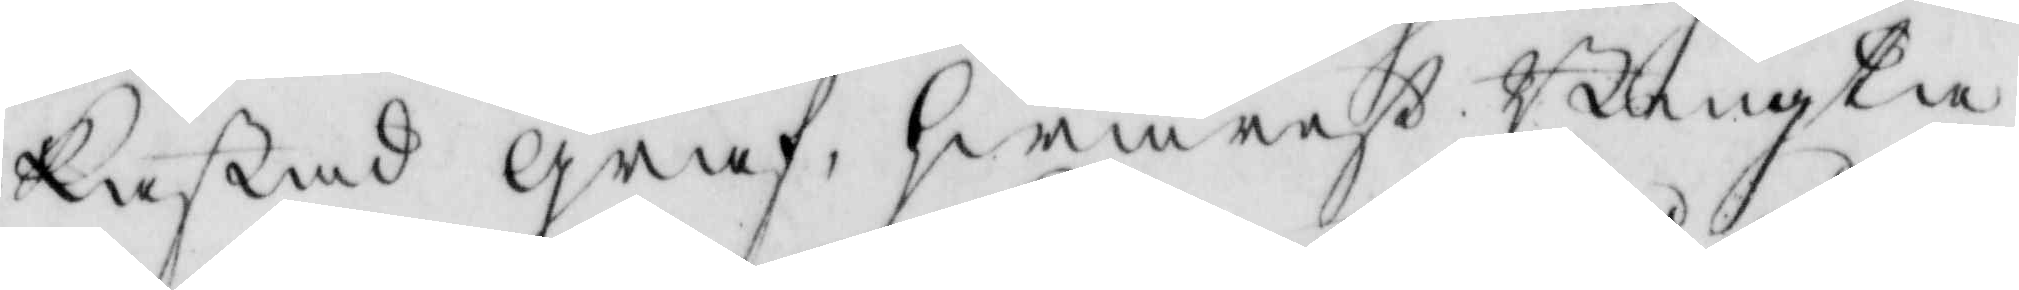kastad graf, hwarest Bengta
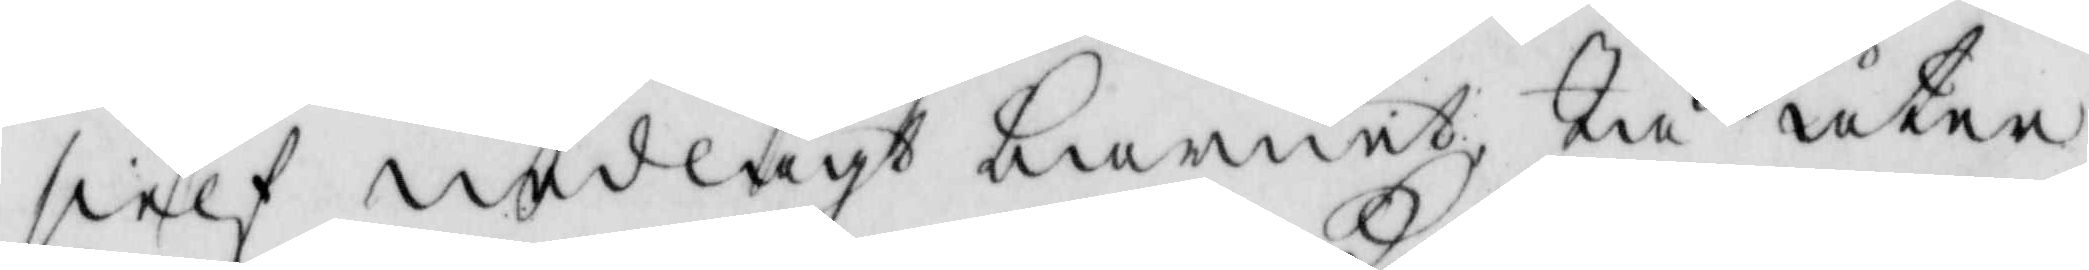sielf nedlagt barnet, tå åter
